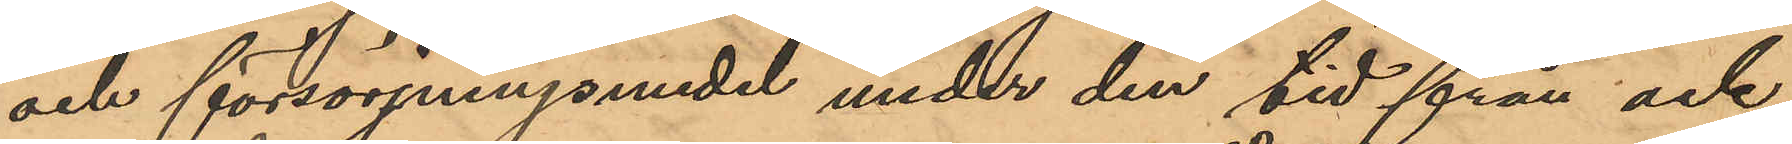och försörjningsmedel under den tid från ock
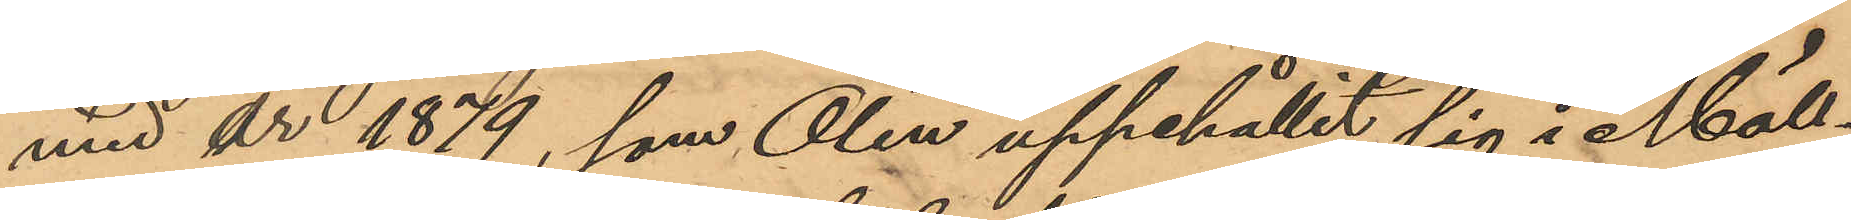med år 1879, som Olin uppehållit sig i Möll¬
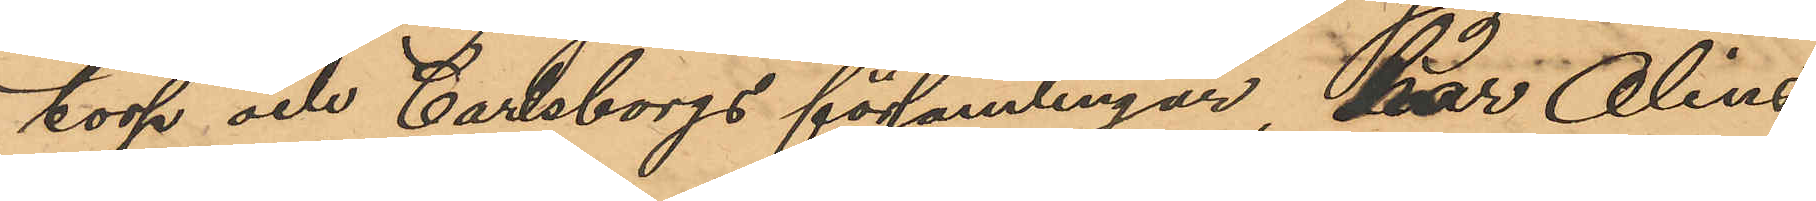torp och Carlsborgs församlingar, har Olins
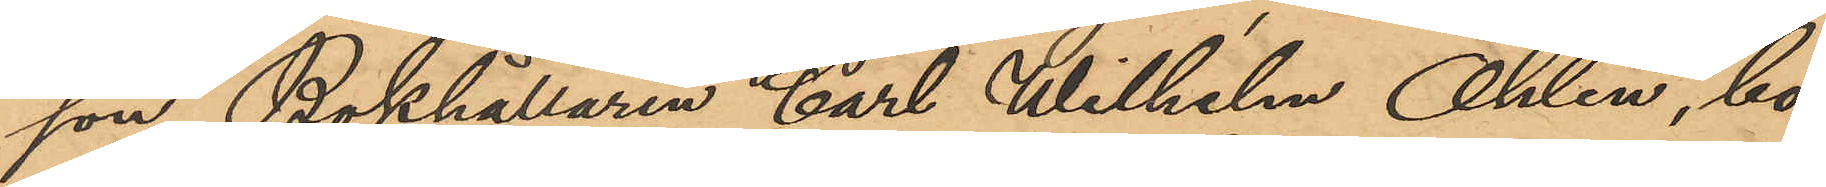son, Bokhållaren Carl Wilhelm Ohlin, bo¬
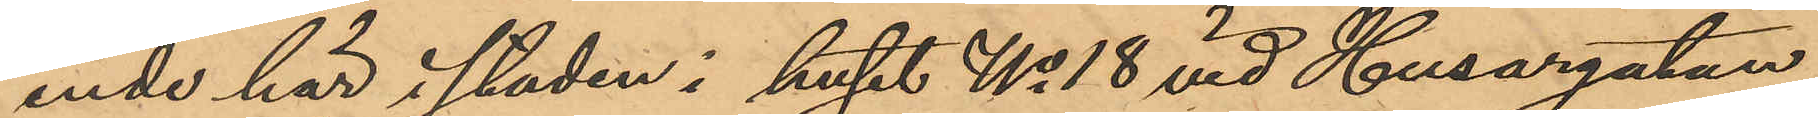ende här i staden i huset No 18 vid Husargatan,
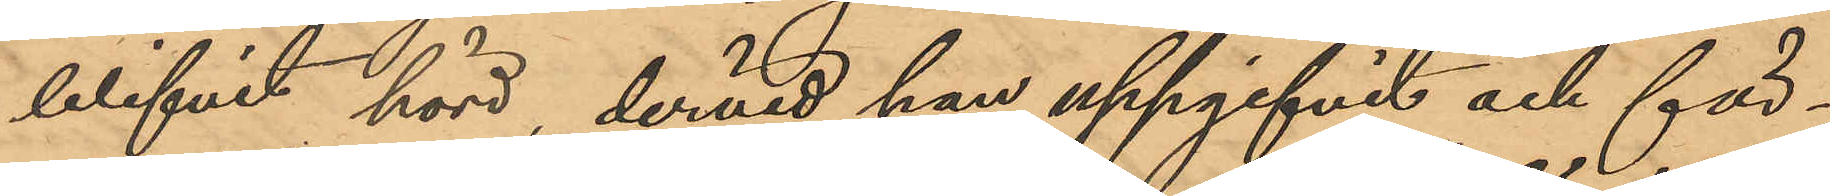blifvit hörd, dervid han uppgifvit och för¬
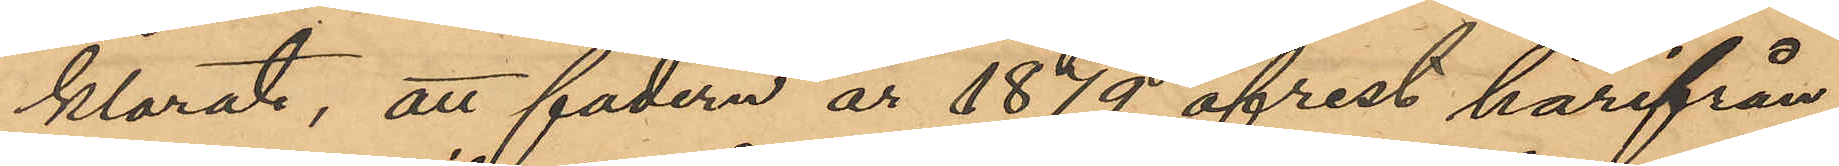klarat, att fadern år 1879 afrest härifrån
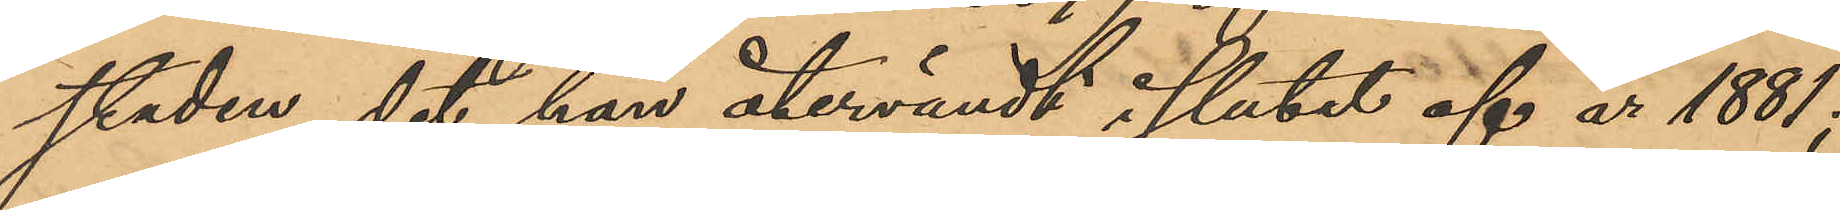staden, dit han återvändt i slutet af år 1881;
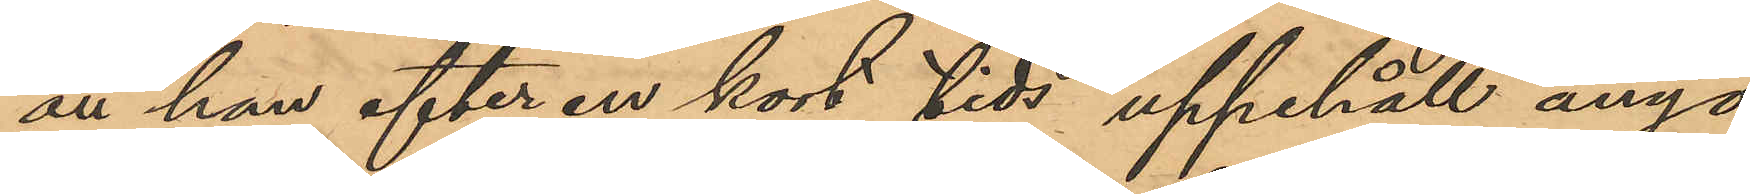att han efter en kort tids uppehåll ånyo
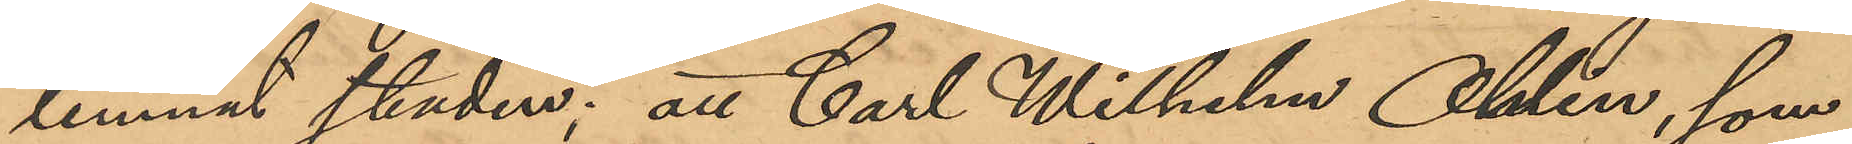lemnat staden; att Carl Wilhelm Ohlin, som
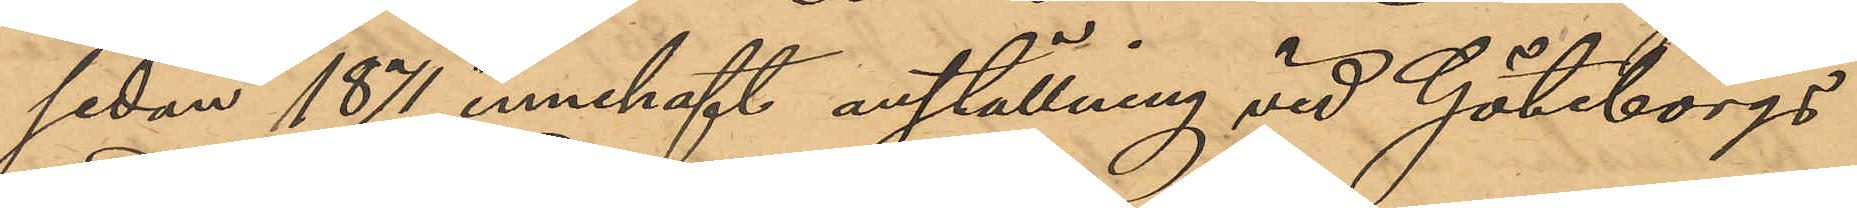sedan 1871 innehaft anställning vid Göteborgs
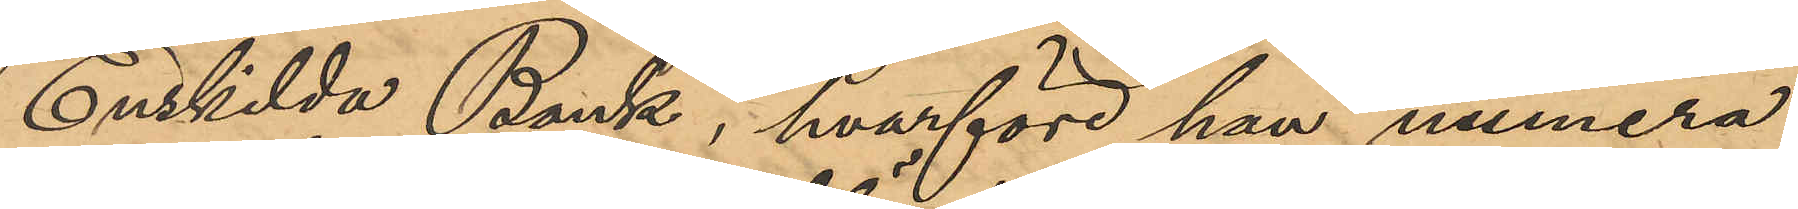Enskilda Bank, hvarföre han numera
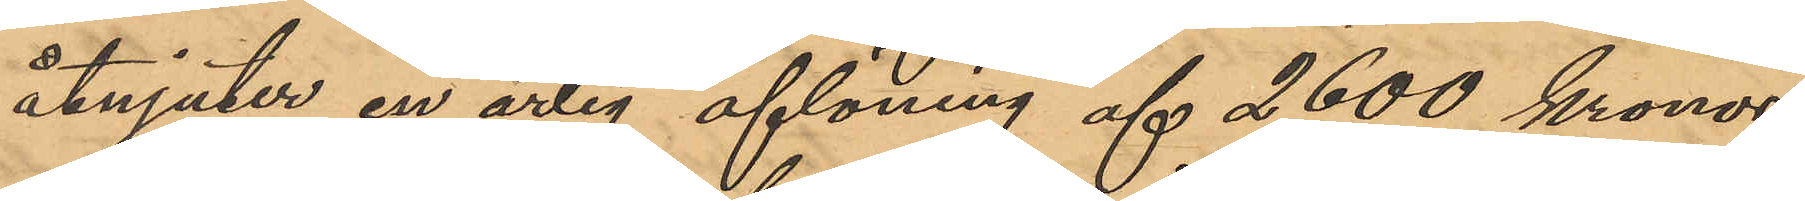åtnjuter en årlig aflöning af 2600 kronor,
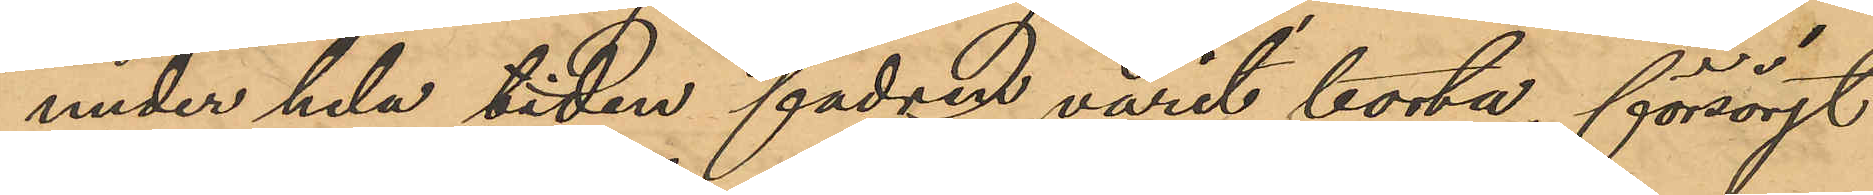under hela tiden fadren varit borta, försörjt
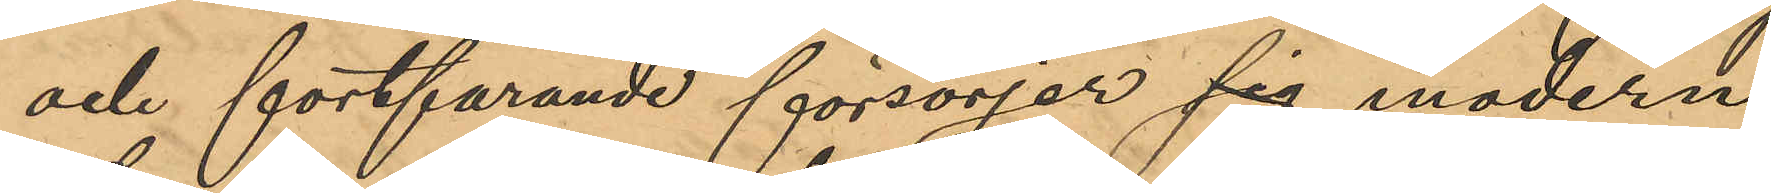och fortfarande försörjer sig modern
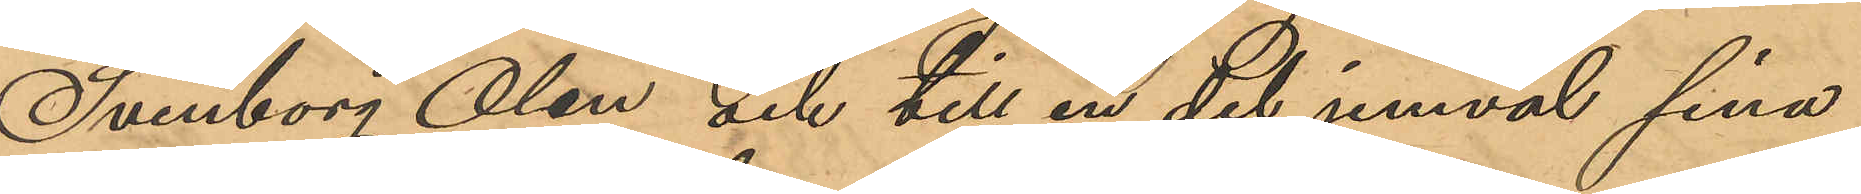Svenborg Olin och till en del jemväl sina
